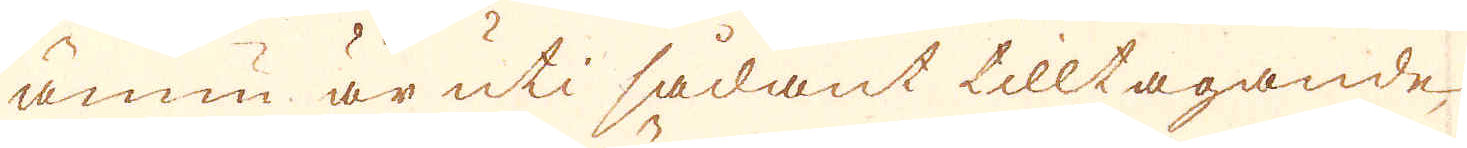ännu är uti sådant tilltagande,
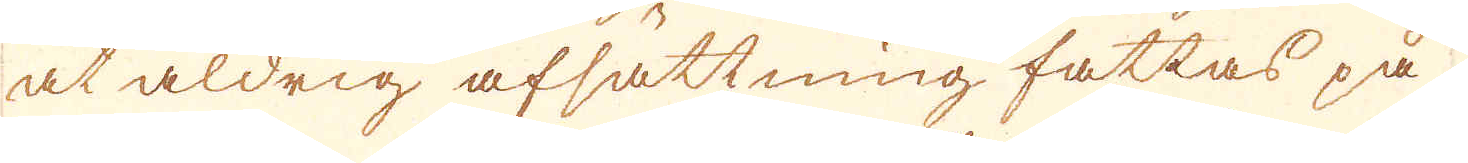at aldrig afsättning fattas på
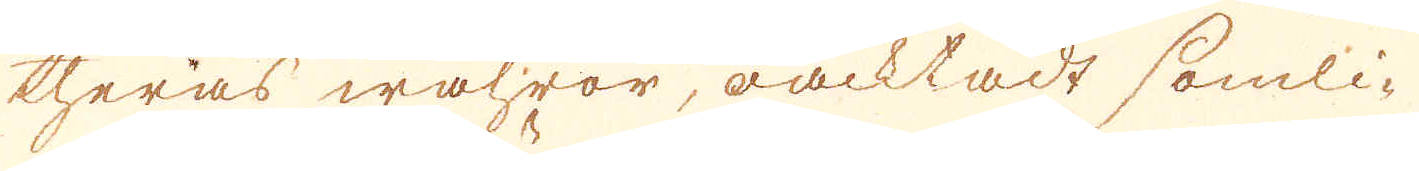theras wahror, oacktadt somli-
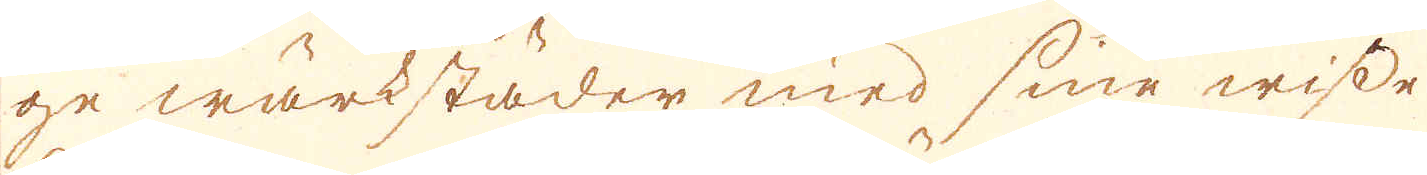ge wärkstäder med sine wisse
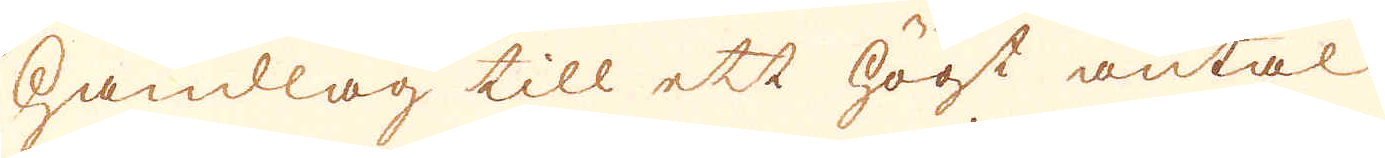handlag till ett högt antal
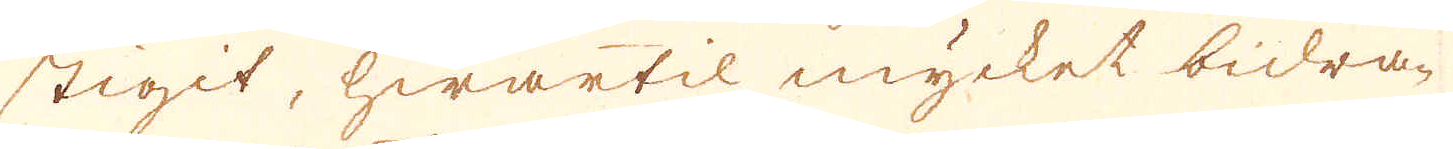stigit, hwartil mycket bidra-
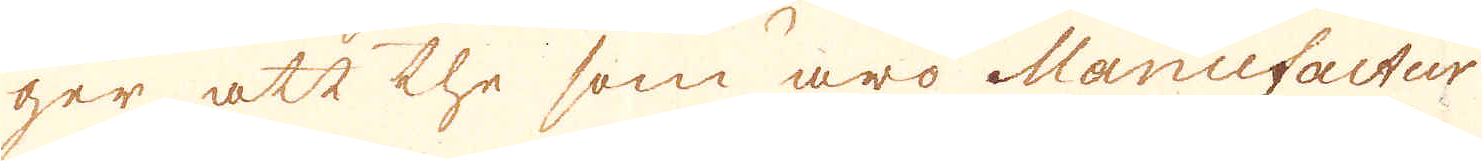ger att the som äro Manufactur
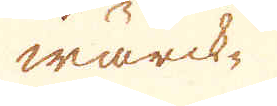wärck-
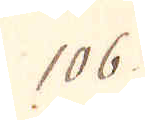106.
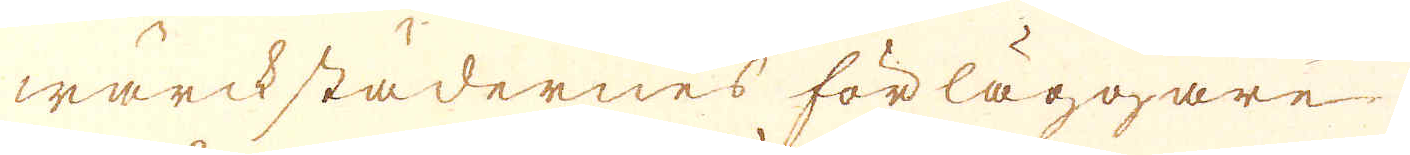wärckstädernes förläggare
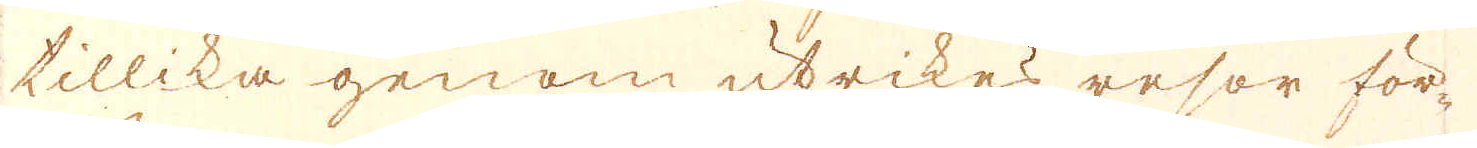tillika genom utrikes resor för-
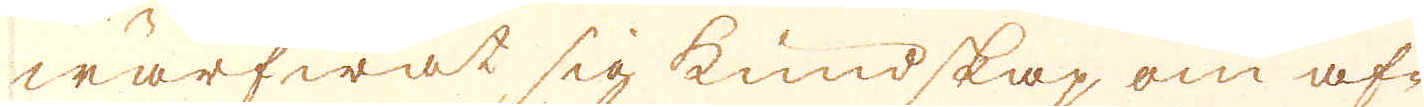wärfwat sig kundskap om af-
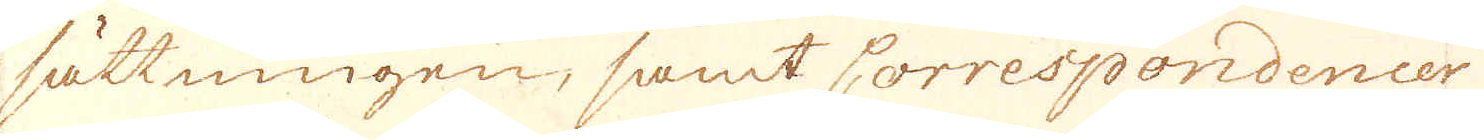sättningen, samt Correspondencer
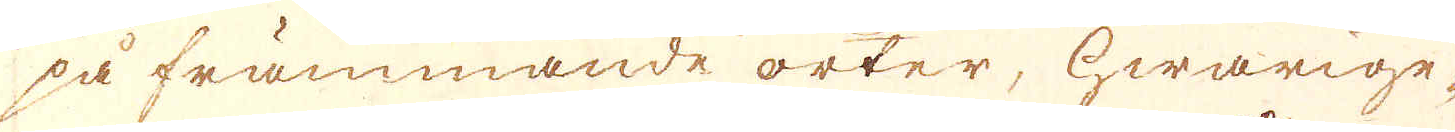på främmande orter, hwarige-
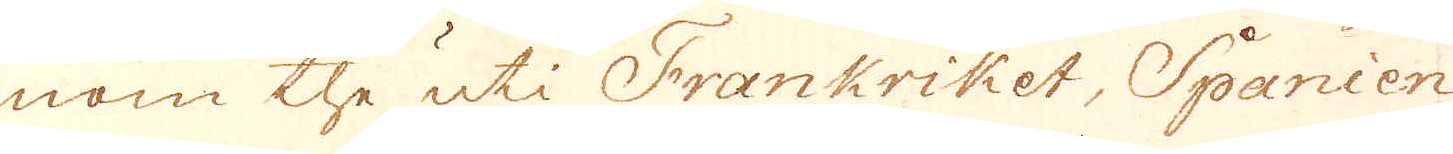nom the uti Frankriket, Spanien
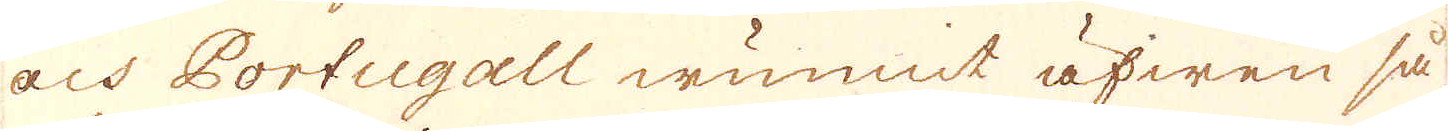och Portugall wunnit äfwen så
